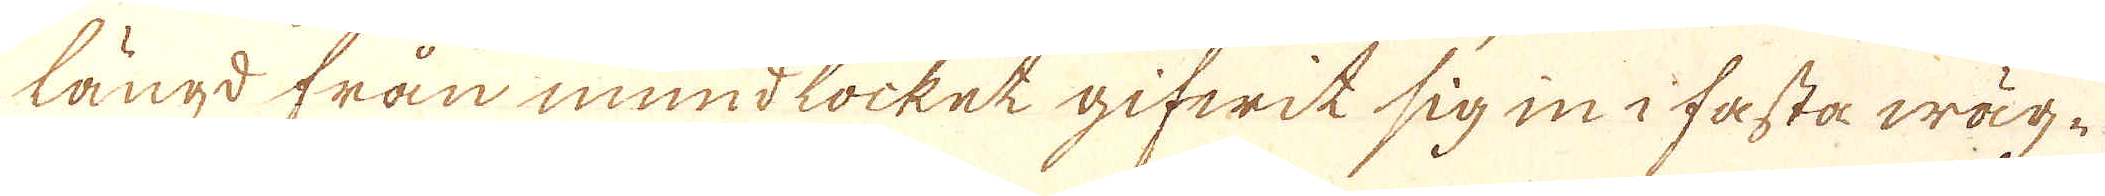längd från mundlocket gifwit sig in i fasta wäg-
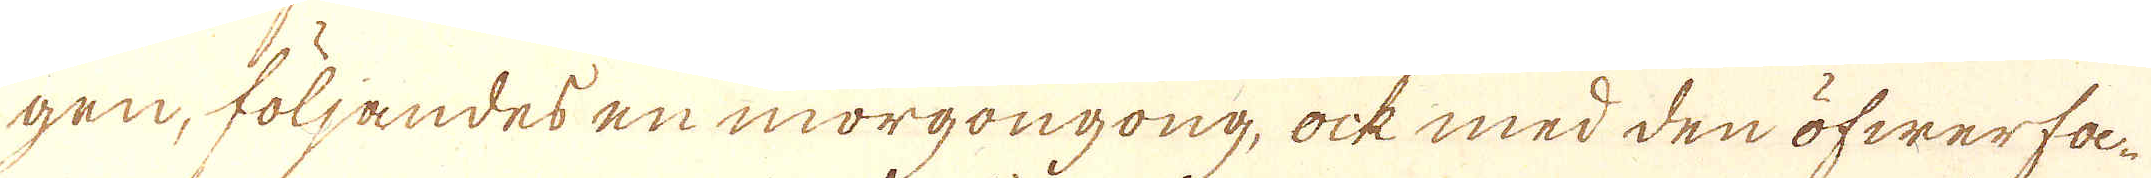gen, följandes en morgongong, ock med den öfwerfa-
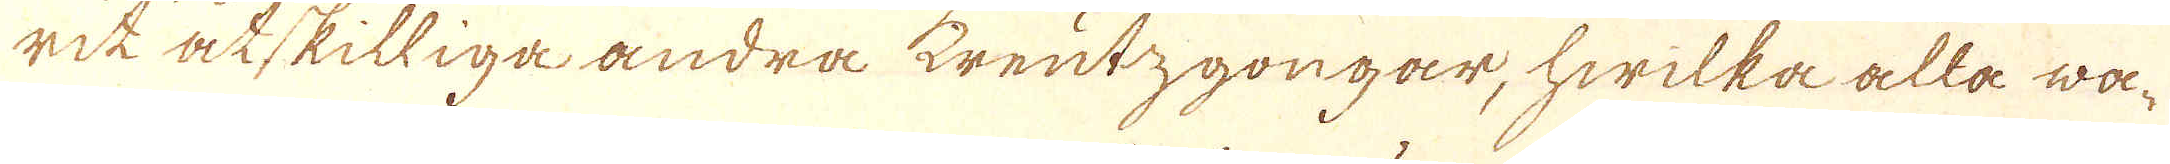rik åtskilliga andra kreutzgongar, hwilka alla wa-
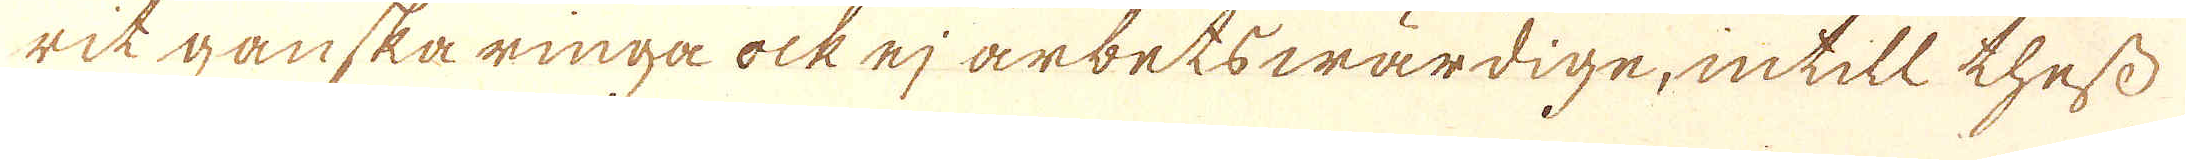rit ganska ringa ock ej arbetswärdige, intill thess
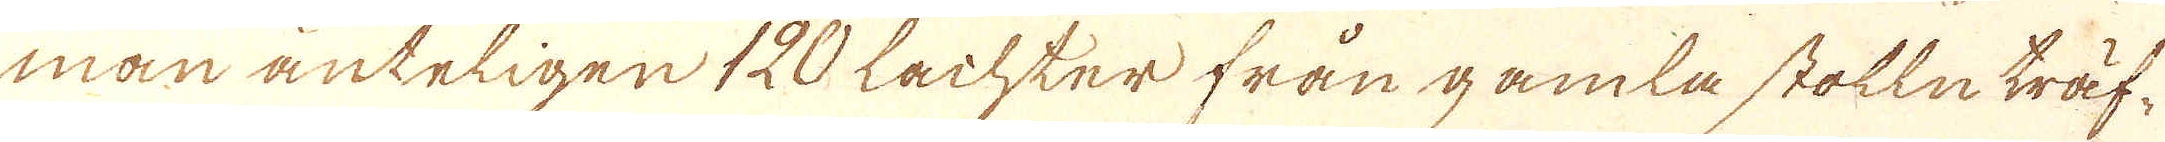man änteligen 120 Lachter från gamla stolln träf-
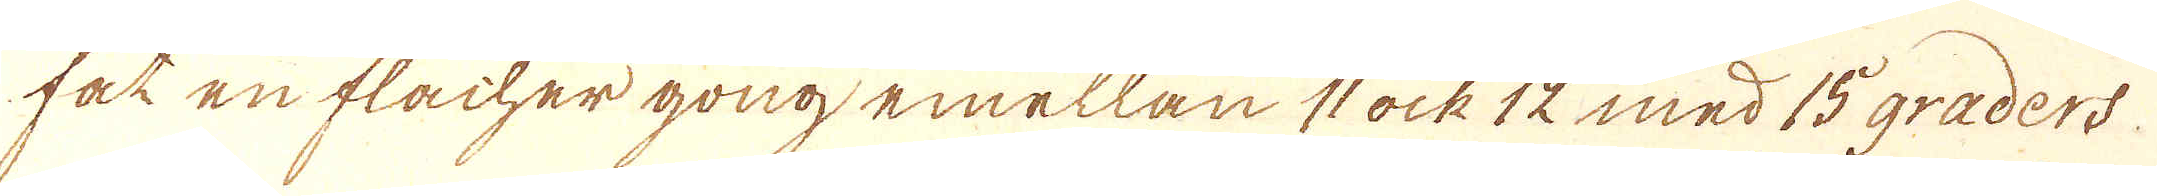fåt en flacher gong emellan 11 ock 12 med 15 graders
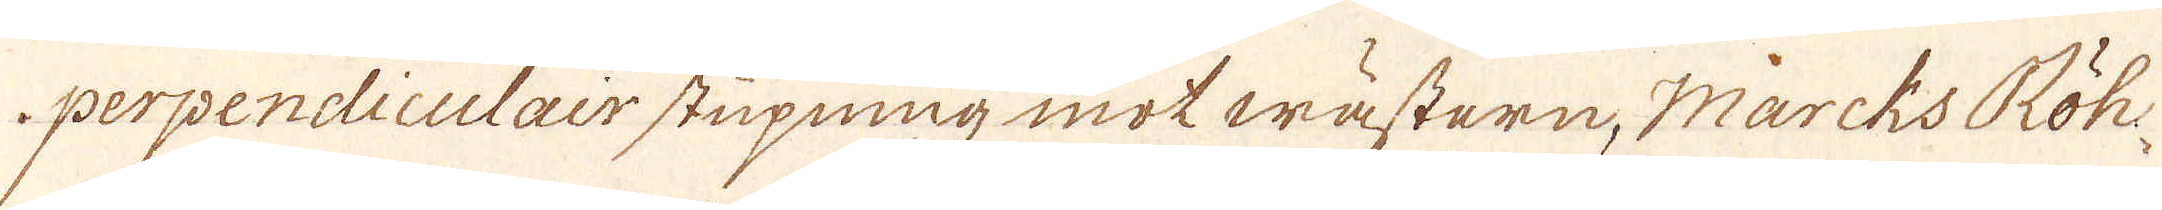perpendiculair stupning mot wästern. Marcks Röh-
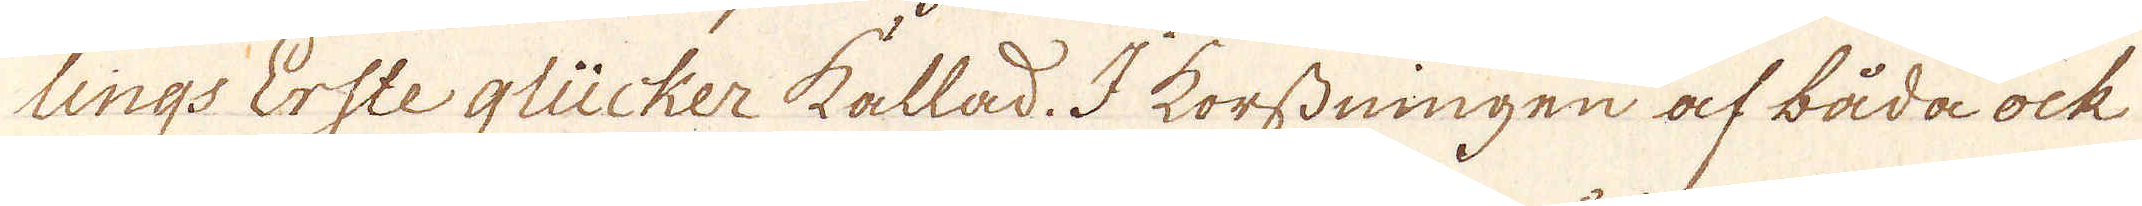lings Erste glücker kallad. I korsdningen af båda ock
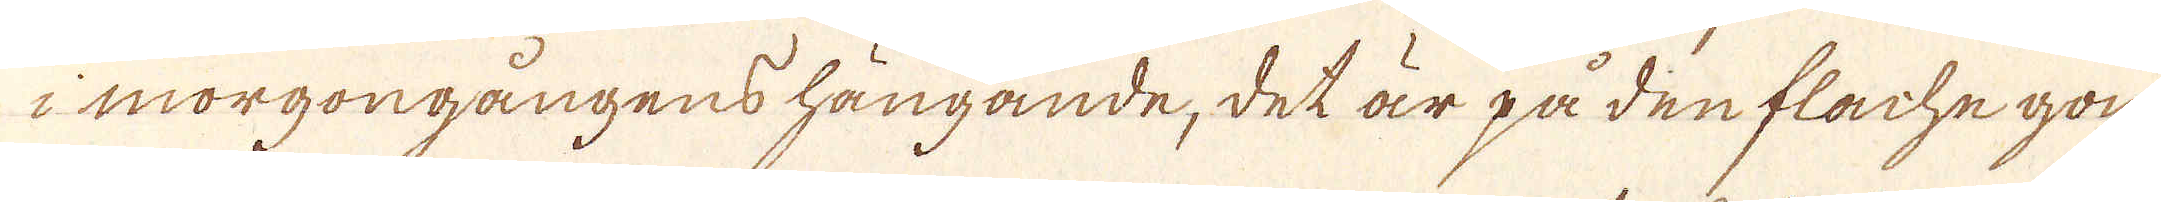i morgongångens hängande, det är på den flachegon,
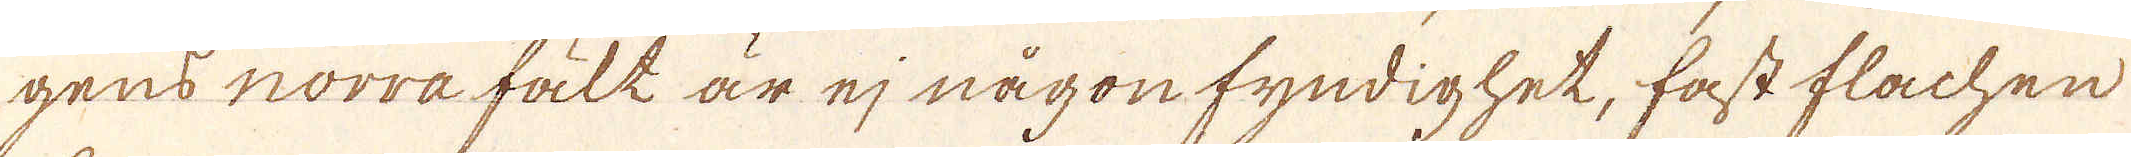gens norra fält är ej någon fyndighet, fast flachen
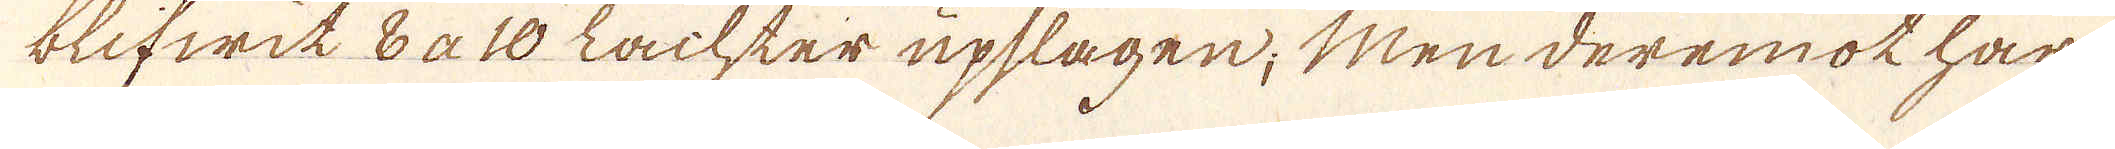blifwit 8 a 10 Lachter upslagen; Men deremot har
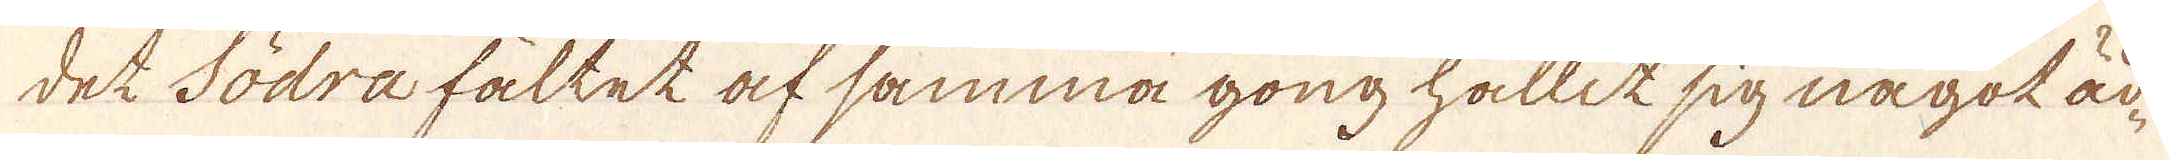det Södra fältet af samma gong hållit sig något äd-
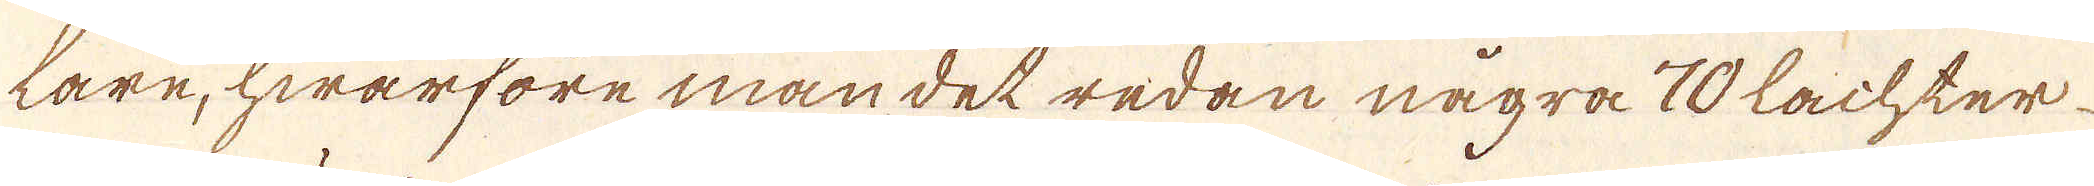tare, hwarföre man det redan några 70 lachter
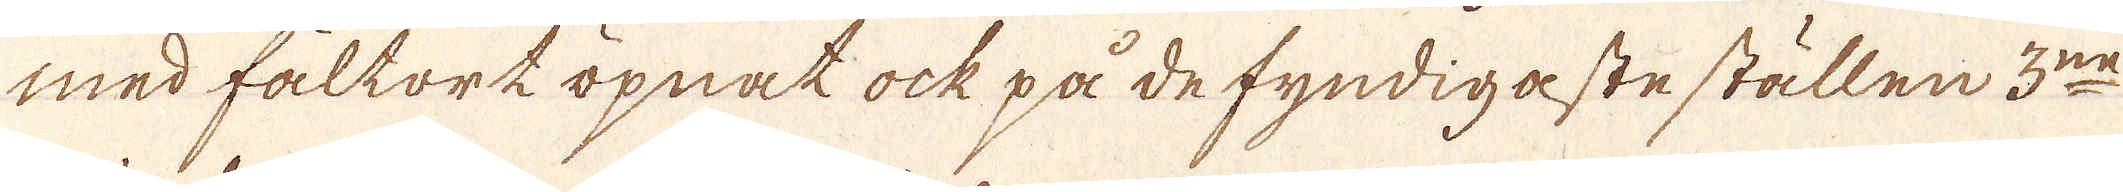med fältortöpnat ock på de fyndigaste ställen 3:ne
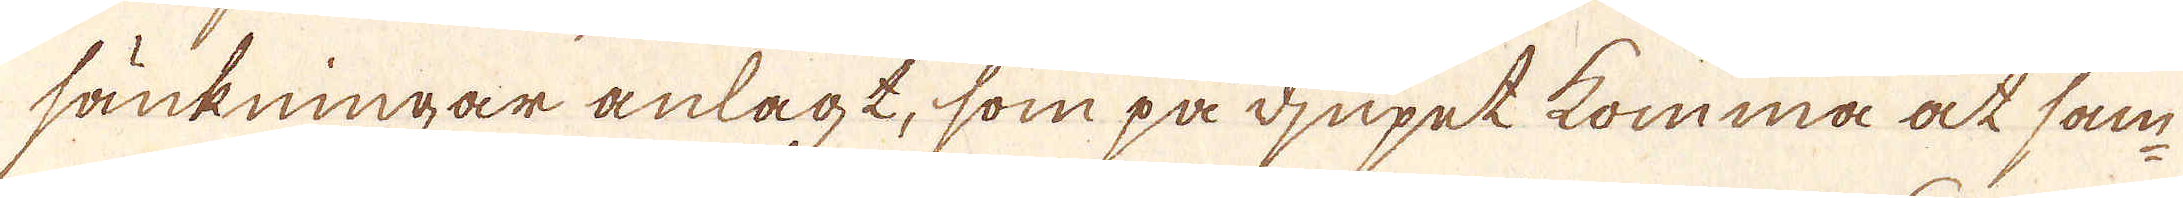sänkningar anlagt, som på djupet komma at sam-
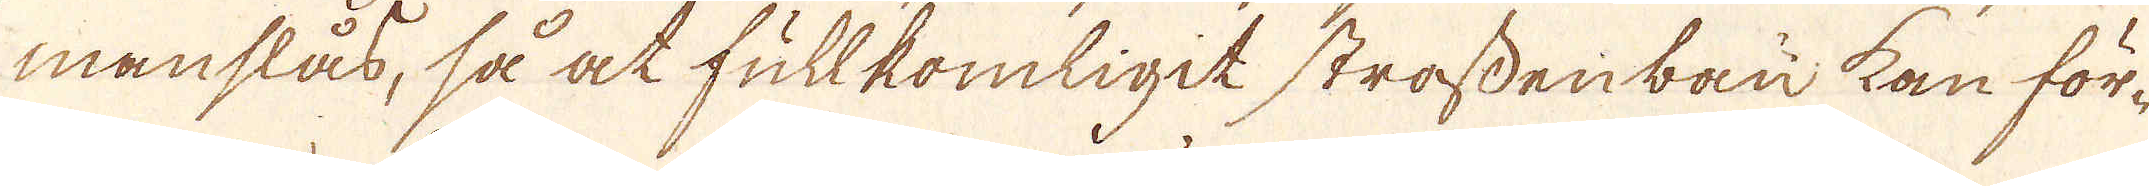manslås, så at fullkomligit strassenbau kan för-
